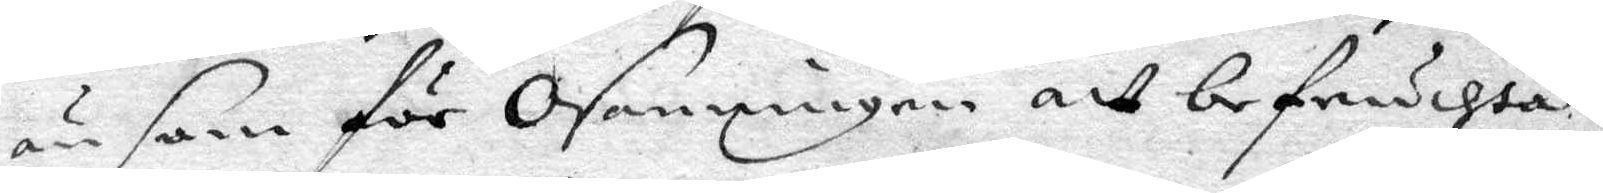än san för Osanningen att befruchta;
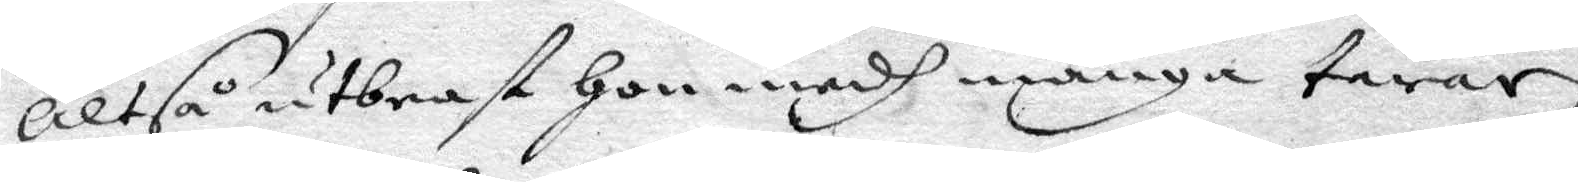altså utbrast hon medh många tårar i
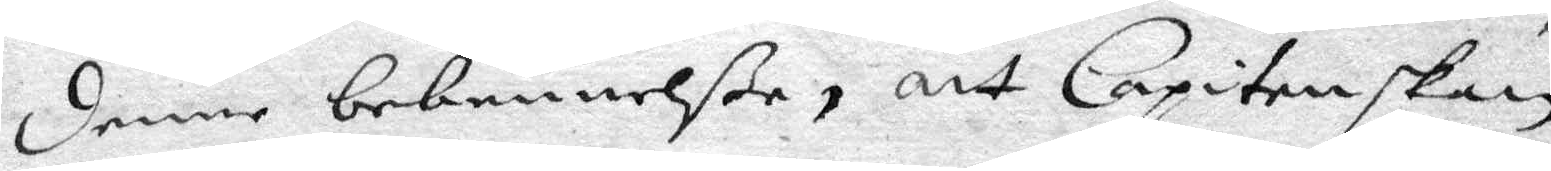denne bekennelße, att Capitenskan
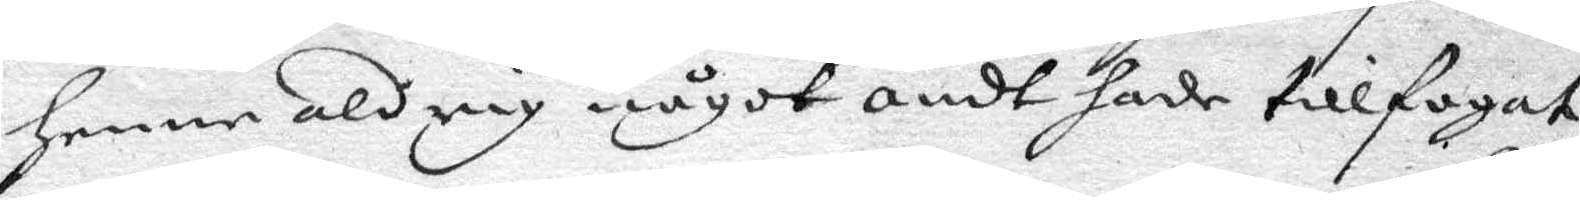henne aldrig något ondt hade tillfogat,
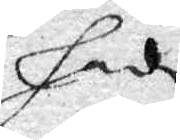hade
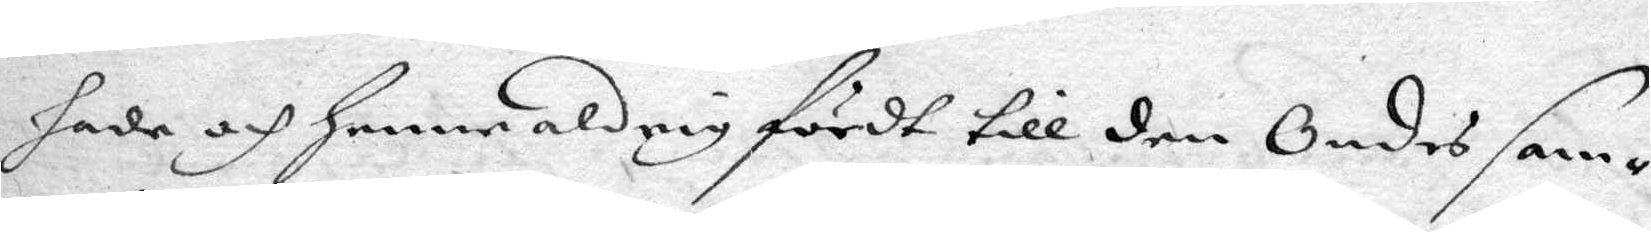hade och henne aldrig fördt till den Ondes sam¬
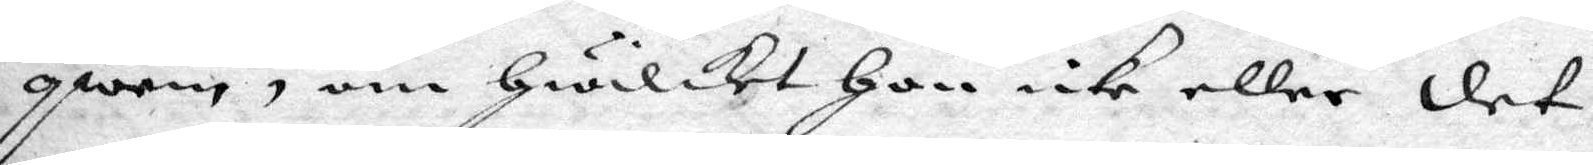qwäm, om hwilket hon icke eller det
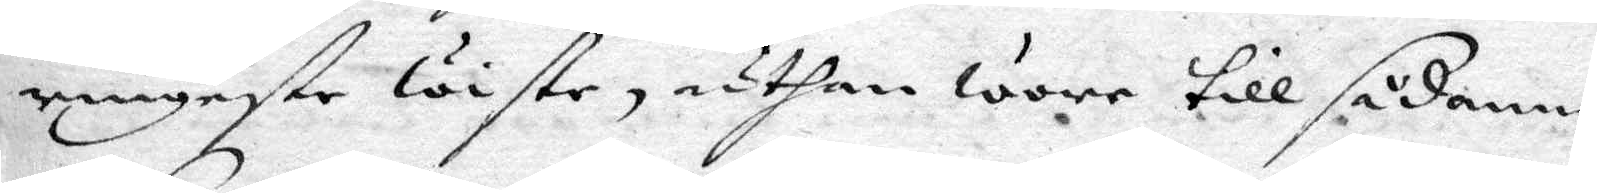ringatse wiste, uthan wore till sådanne
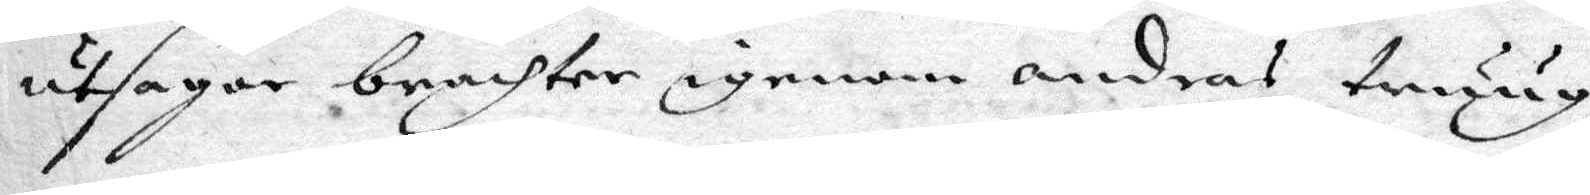utsagor brachter igenom andras truug
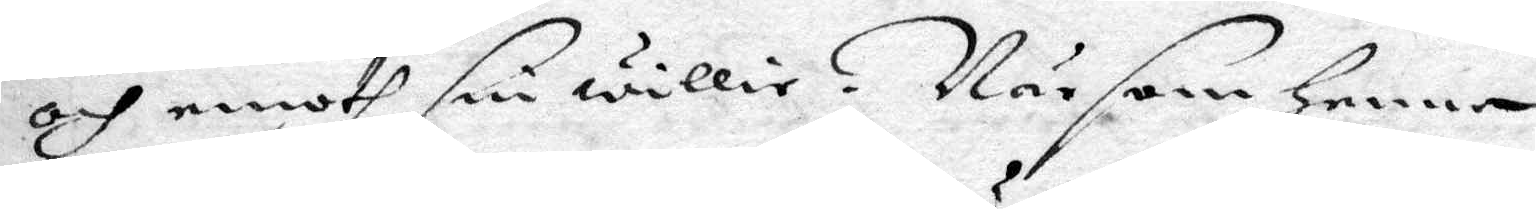och emoth sin willia. När som henne
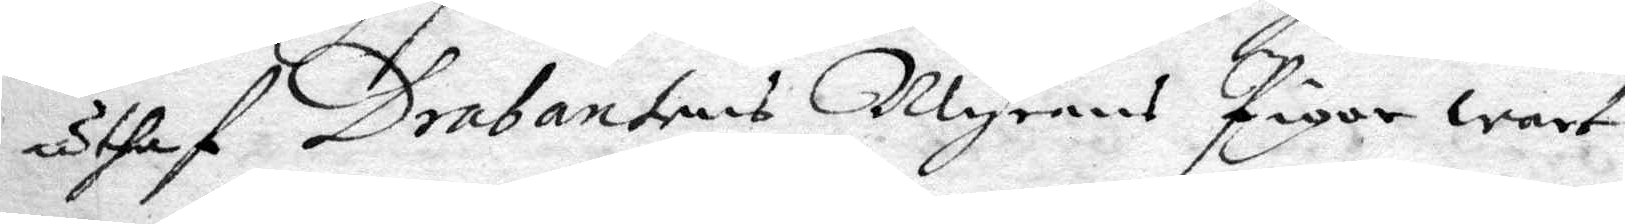uthaf Drabantens Myrans Pigor wart
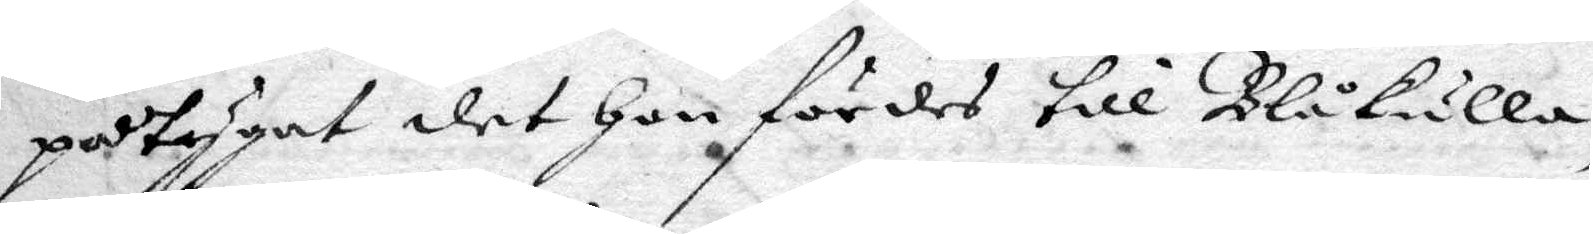påtygat det hon fördes till Blåkulla,
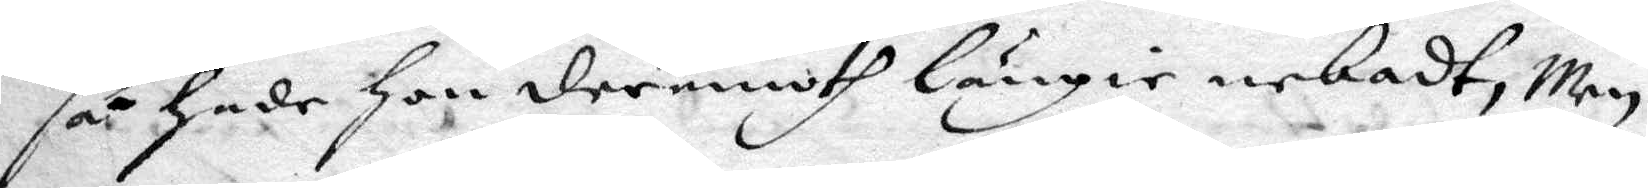så hade hon deremoth längie nekadt, Men
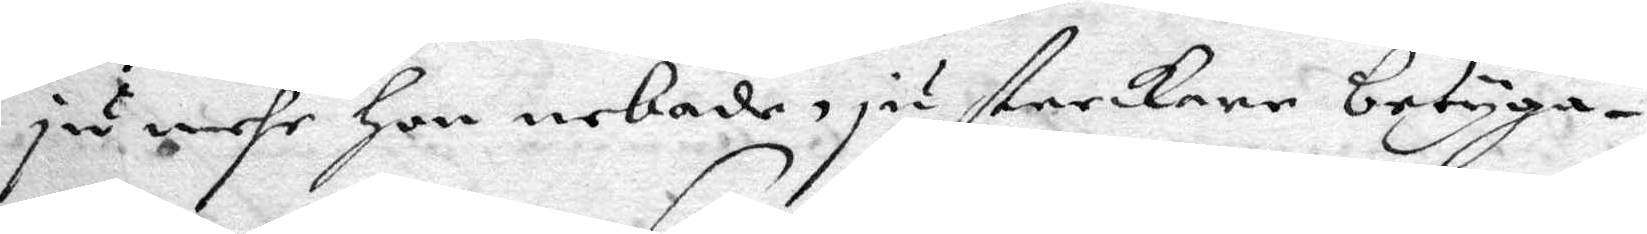ju meht hon nekade, ju starkare betyga¬
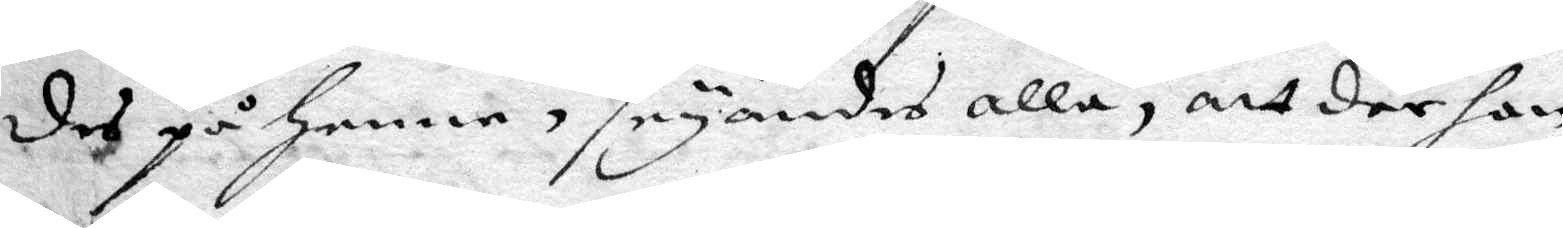des på henne, säyandes alla, att där hon
